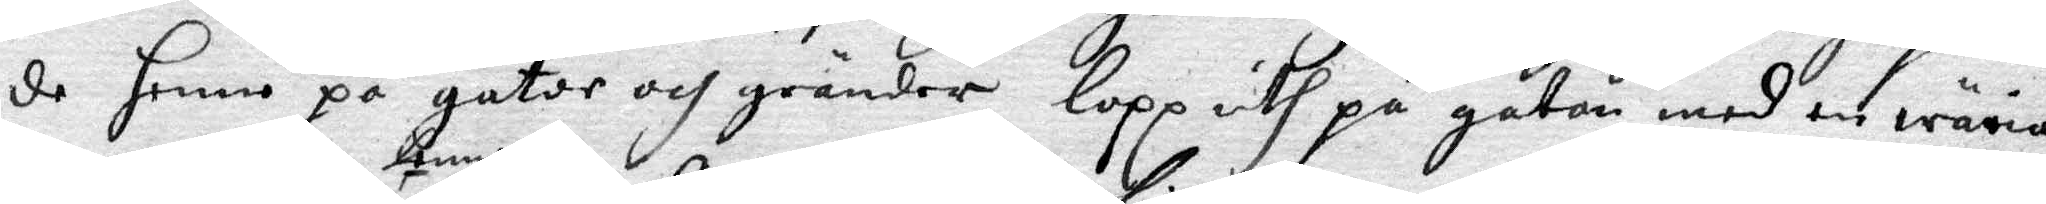de henne på gator och gränder lopp uth på gator med en wäria
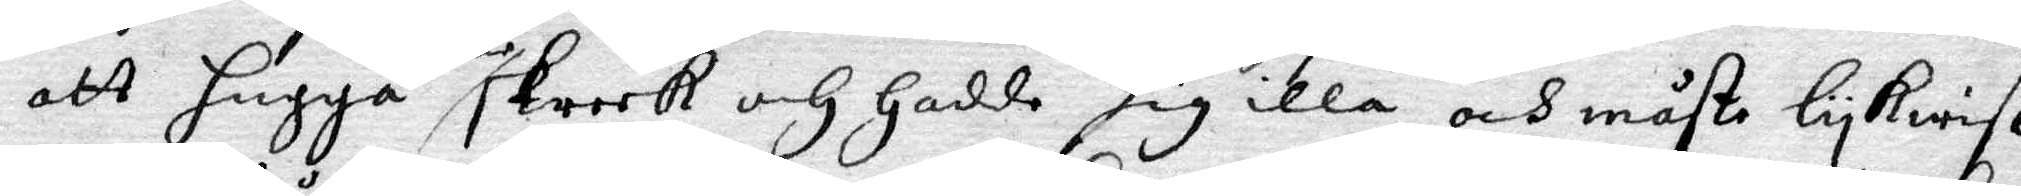att hugga henne skreek och Hadde sig illa och måste lykwist
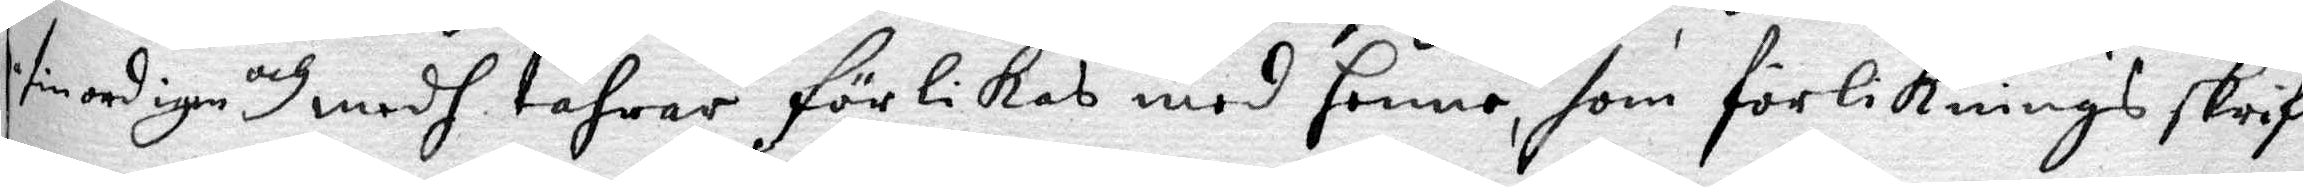sin ord igen och med tåhrar förlikas med henne, som förliknings skrif¬
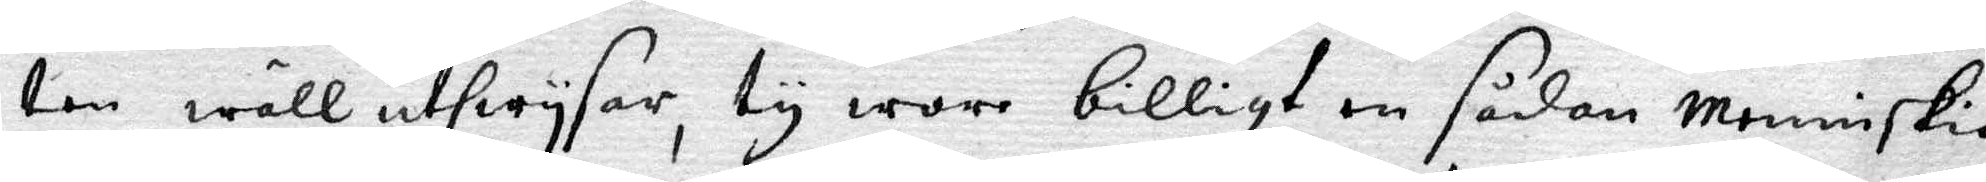ten wäll uthwysar, ty wore billigt en sådan menniskia
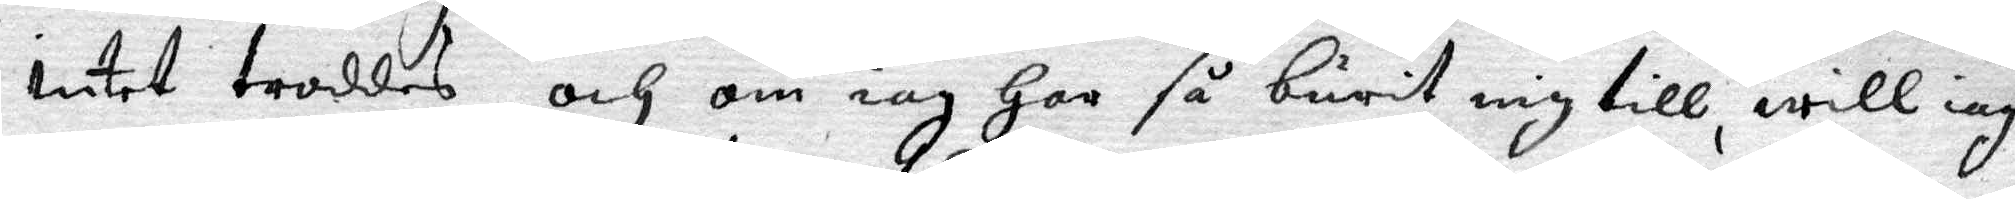intet troddes, och om iag Har så burit mig till, will iag
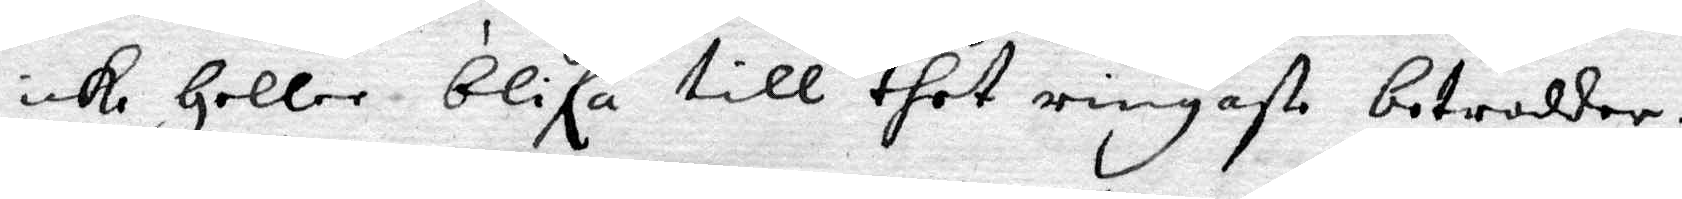icke Heller blifa till thet ringaste betrodder.
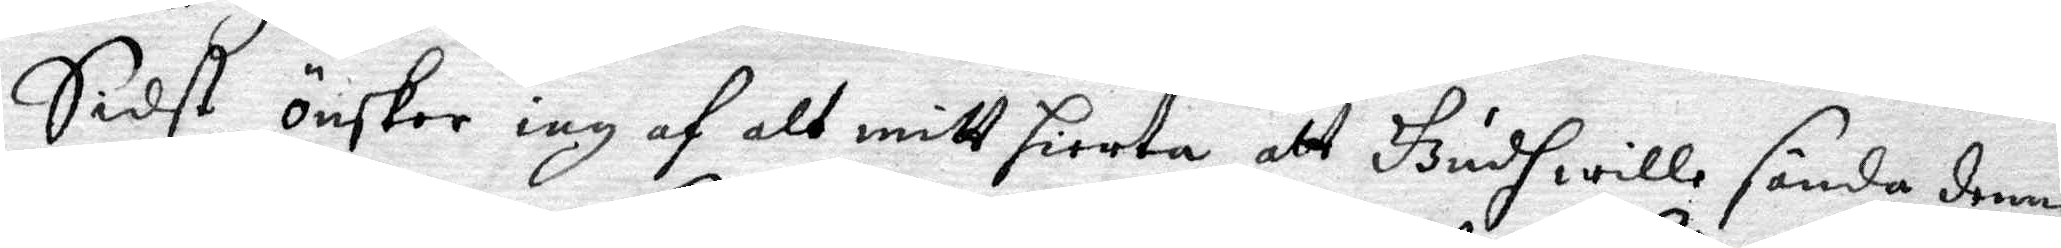Sidst önskar iag af alt mitt hierta, att Gudh wille sända denne
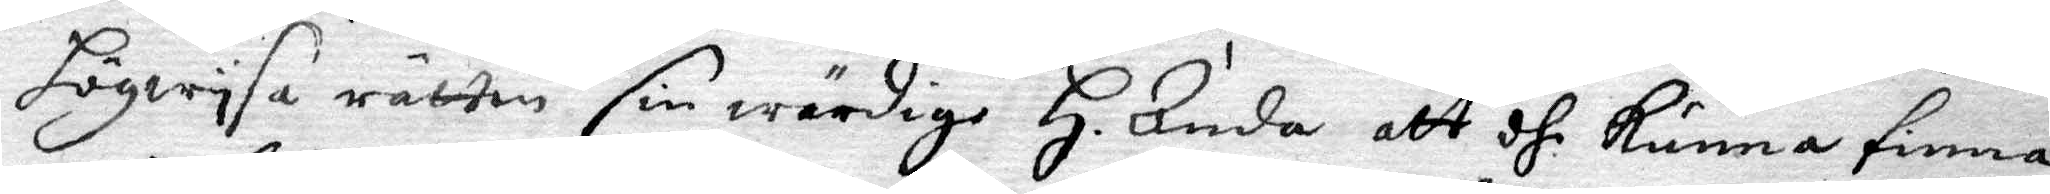Högwysa rätten sin sin wärdige H. Anda att dhe kunna finna
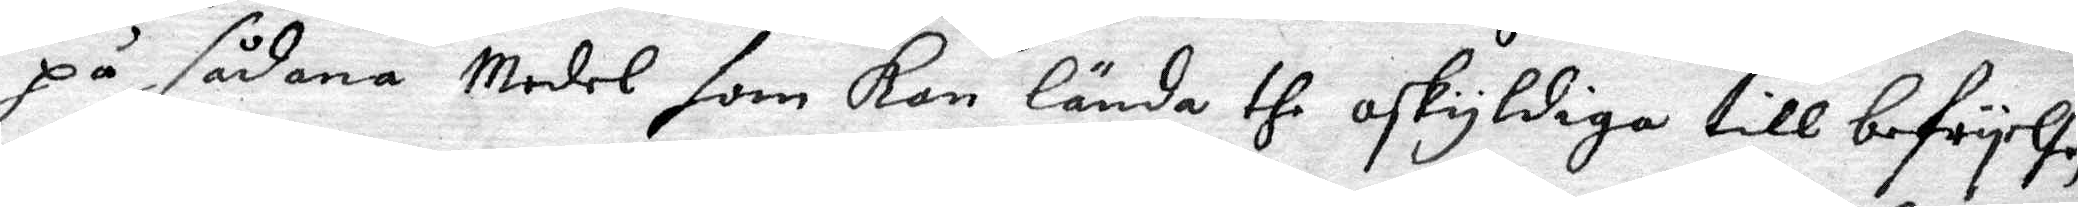på sådana Medel som kan lända the oskyldiga till befryelse,
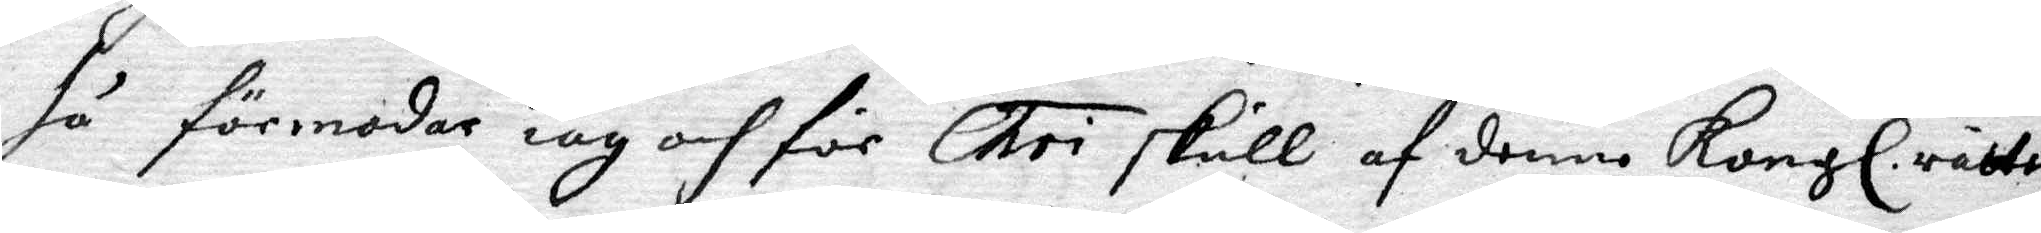så förmodar iag och för Chri skull af denne Kongl. rätten
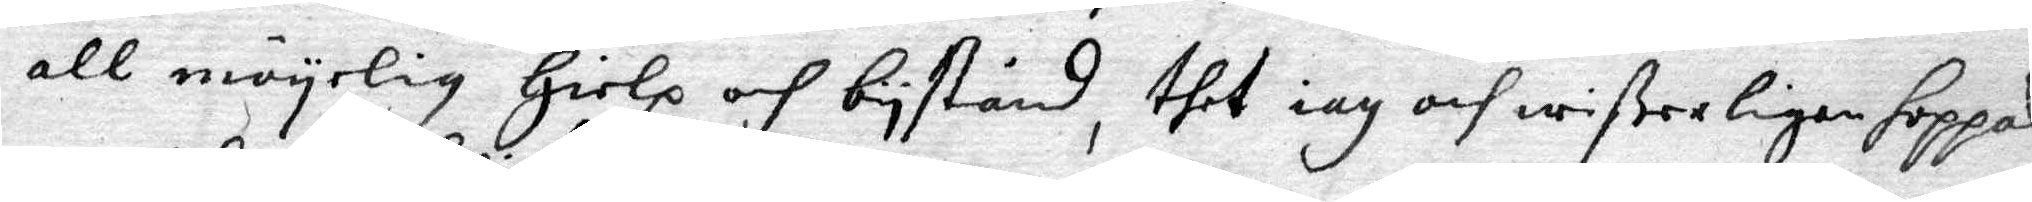all möyelig Hielp och bistånd, thet iag och wißerligen hoppas
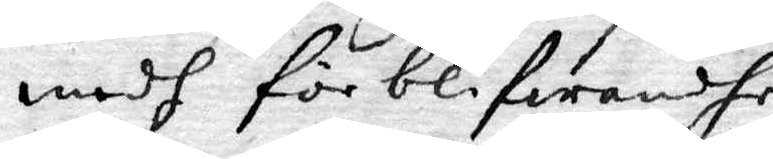medh förblifwandhe
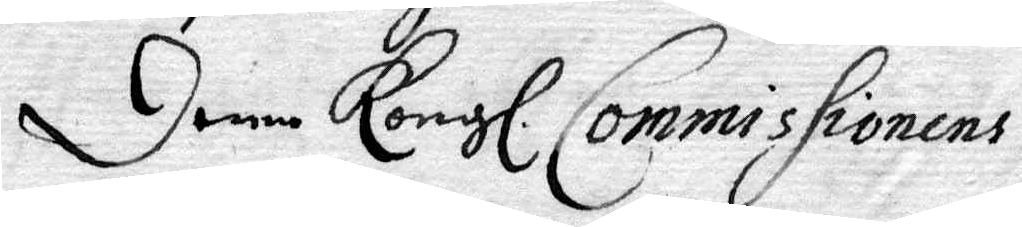Denne Kongl. Commissionens
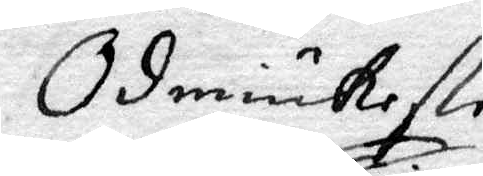Ödmiukeste
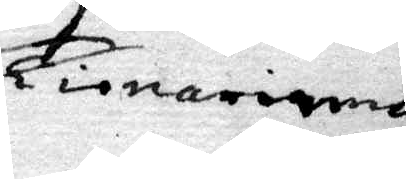Tienarinna
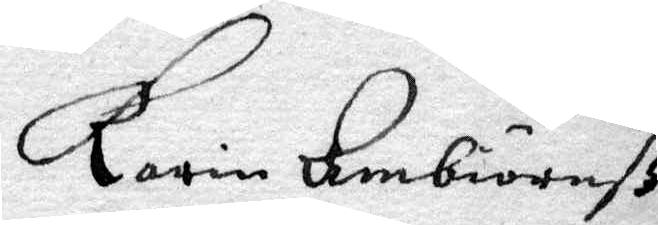Karin Ambiörnß¬
